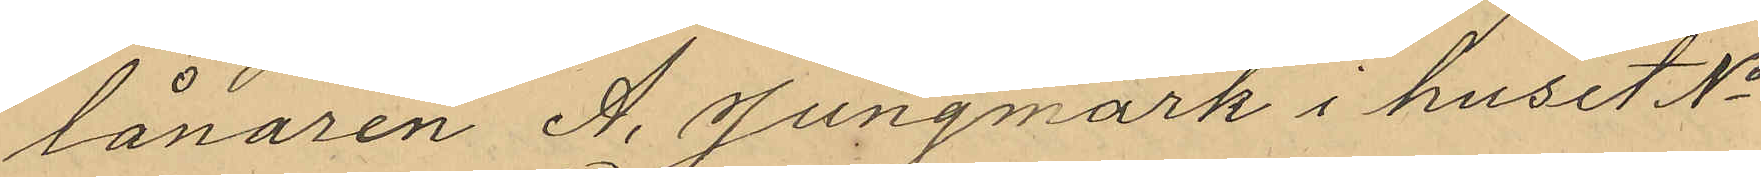lånaren A. Jungmark i huset No
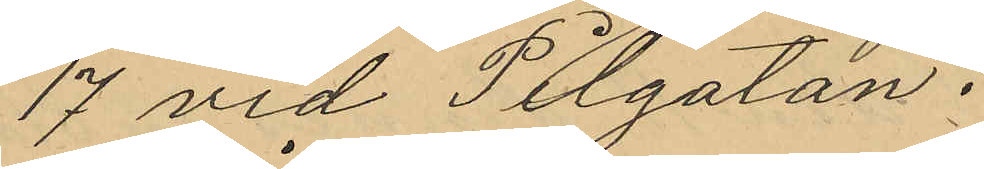17 vid Pilgatan.
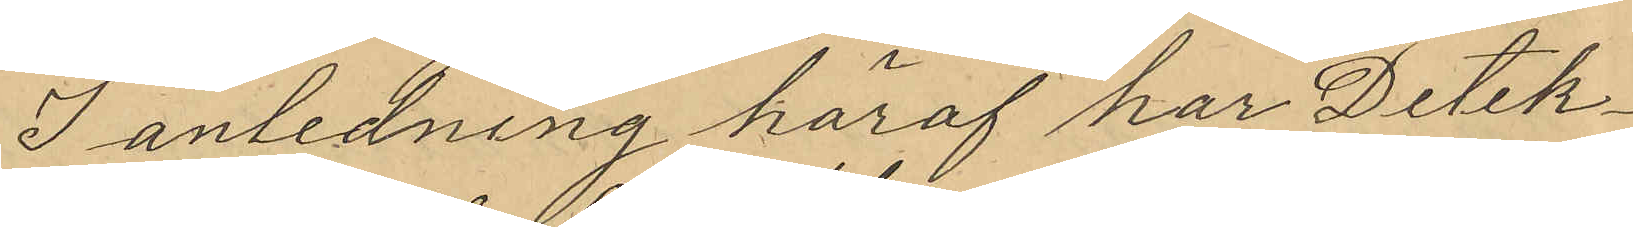I anledning häraf har Detek¬
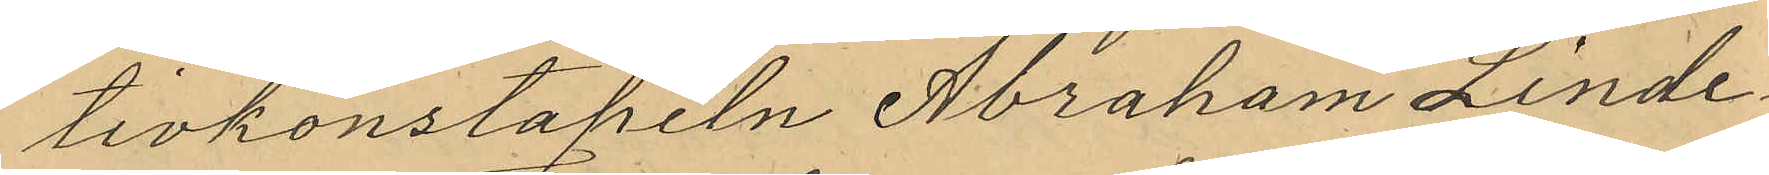tivkonstapeln Abraham Linde¬
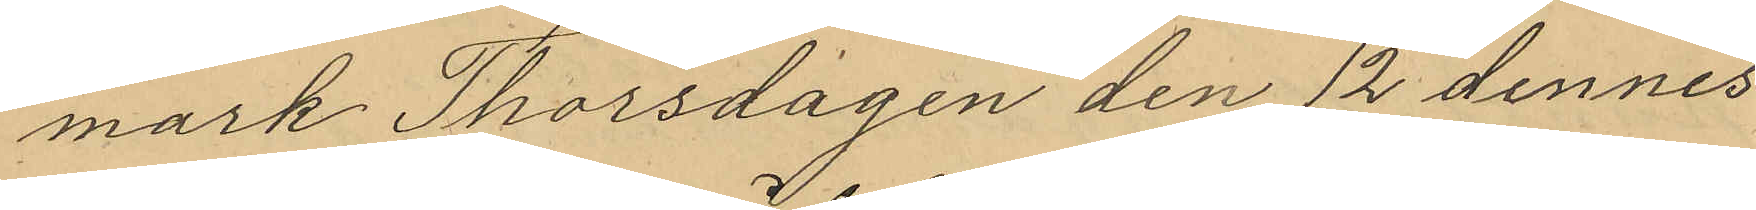mark Thorsdagen den 12 dennes
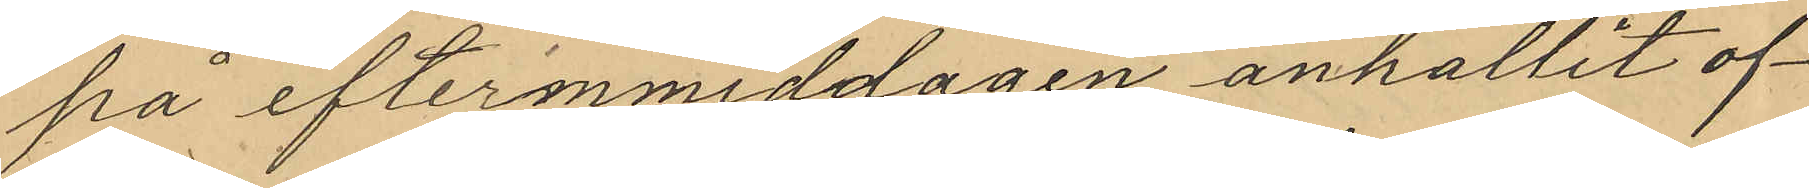på efternmiddagen anhållit of¬
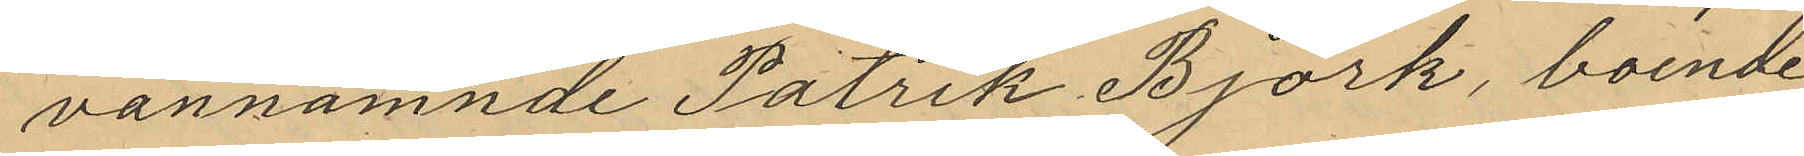vannämnde Patrik Björk, boende
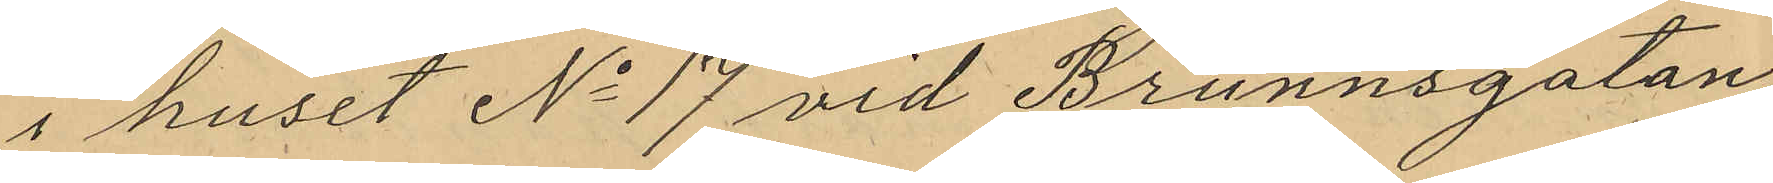i huset No 17 vid Brunnsgatan,
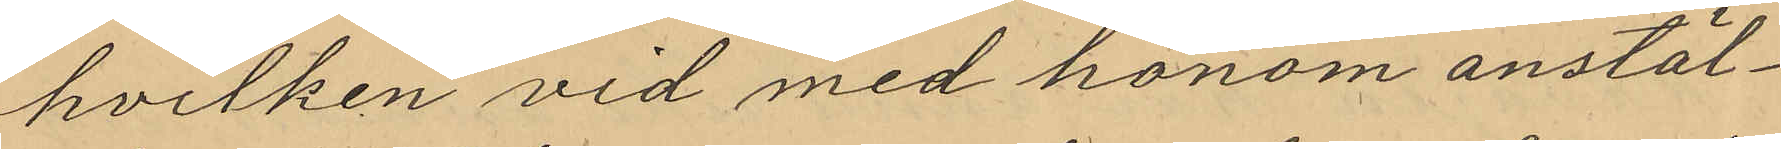hvilken vid med honom anstäl¬
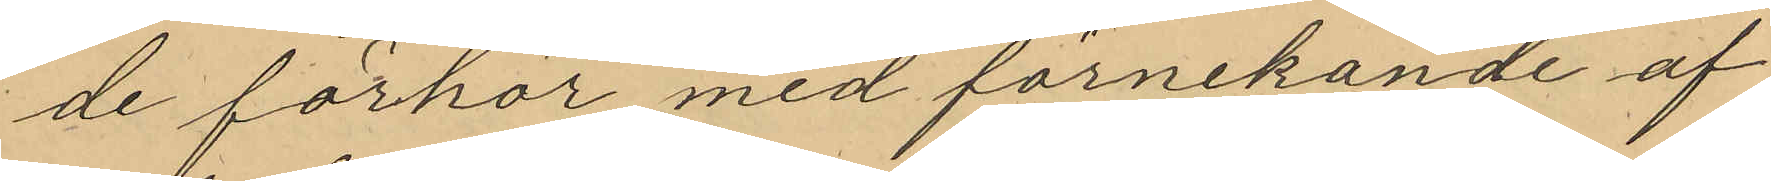de förhör med förnekande af
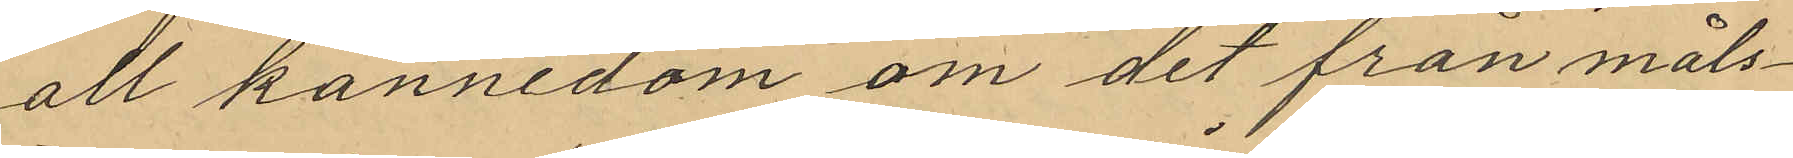all kännedom om det från måls¬
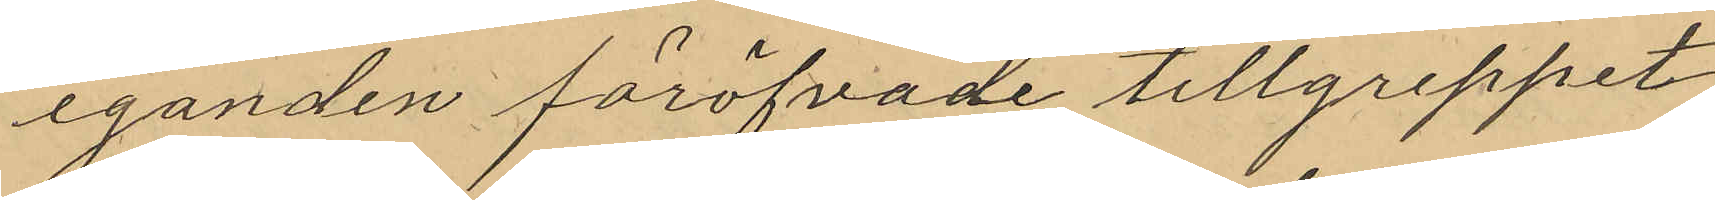eganden föröfvade tillgreppet
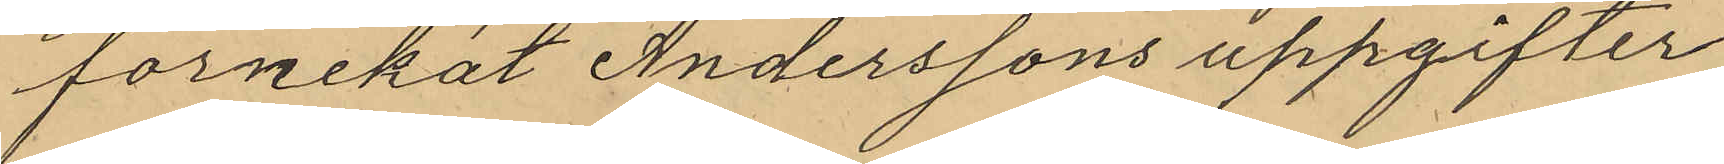förnekat Anderssons uppgifter
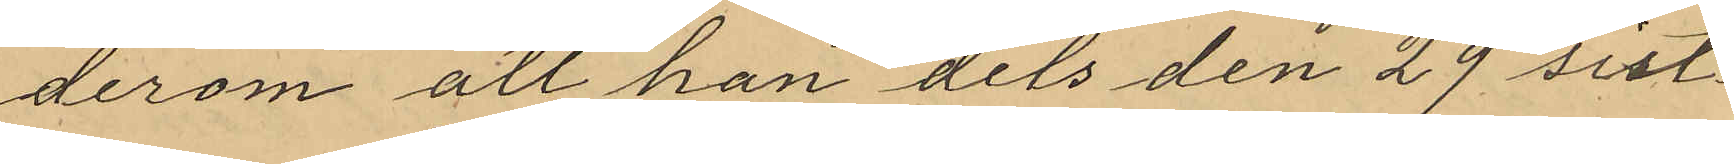derom att han dels den 29 sist¬
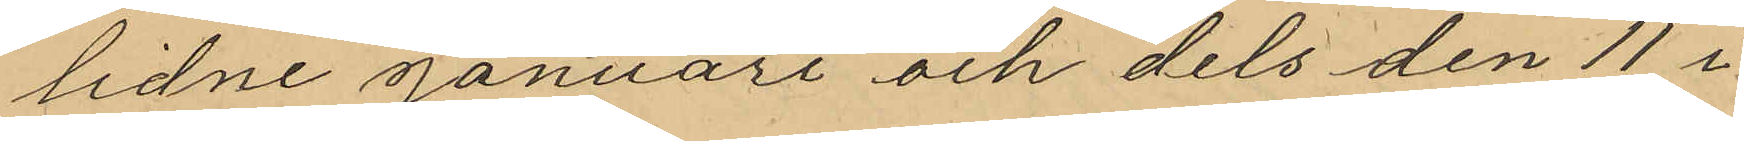lidne januari och dels den 11 i
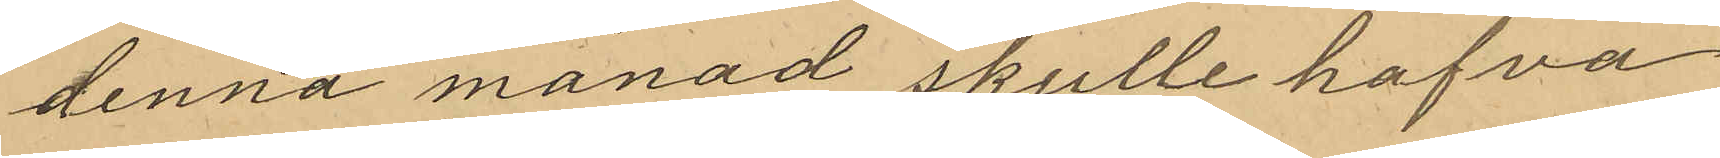denna månad skulle hafva
